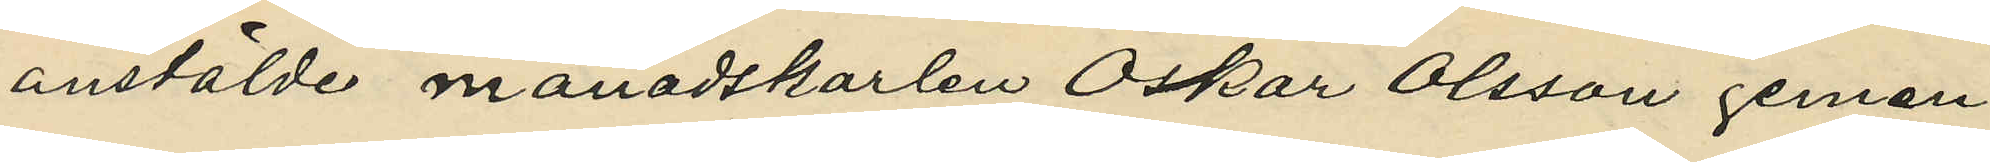anstälde månadskarlen Oskar Olsson gemen¬
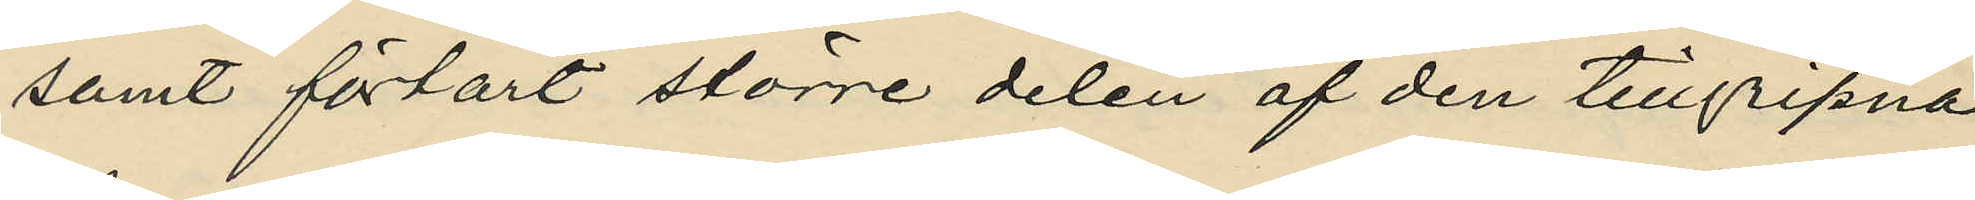samt förtärt större delen af den tillgripna
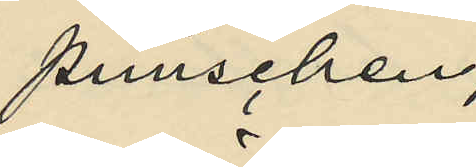punschen;
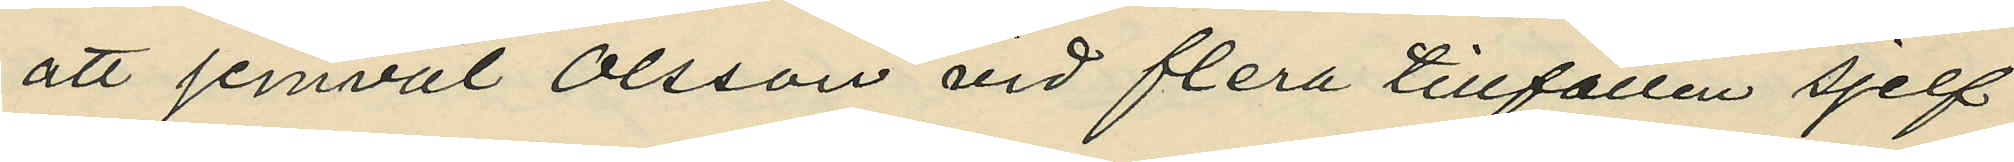att jemväl Olsson vid flera tillfällen sjelf
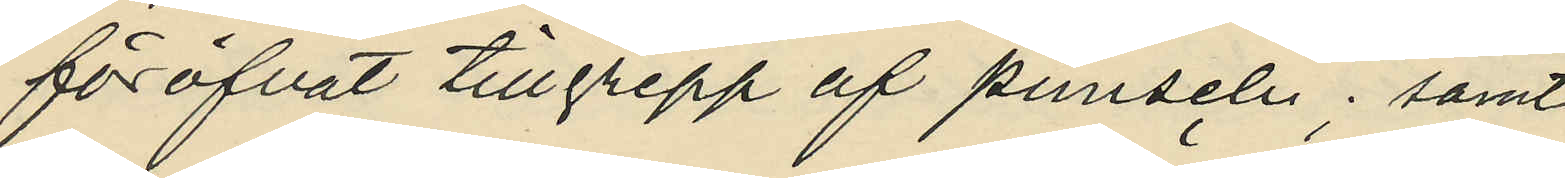föröfvat tillgrepp af punsch; samt
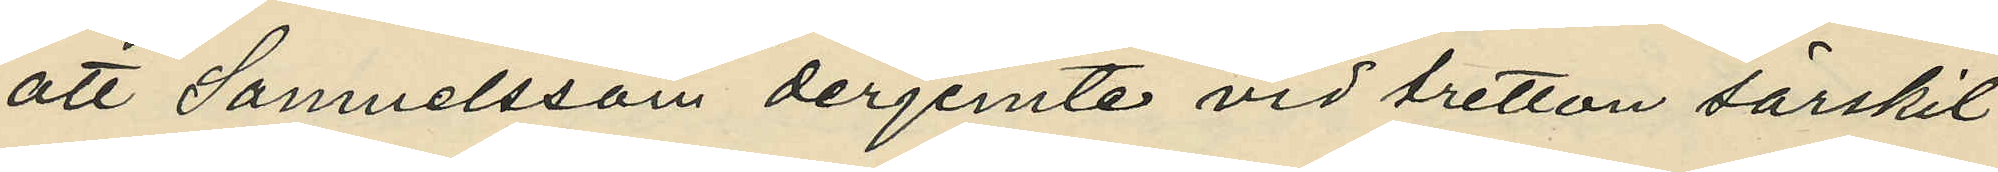att Samuelsson derjemte vid tretton särskil¬
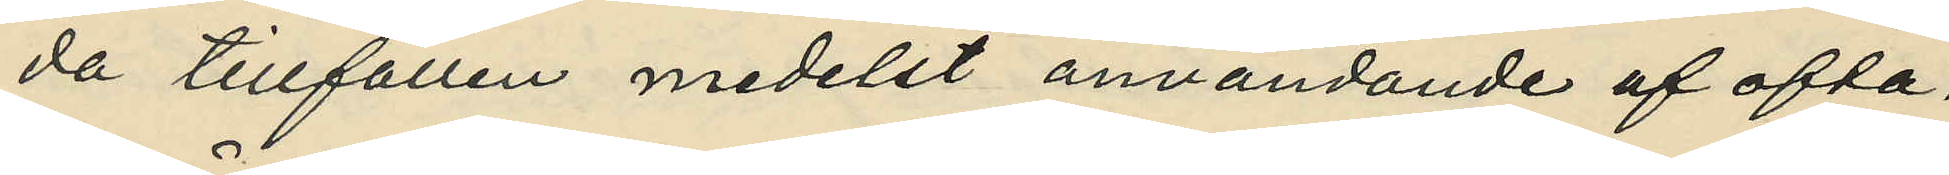da tillfällen medelst användande af ofta¬
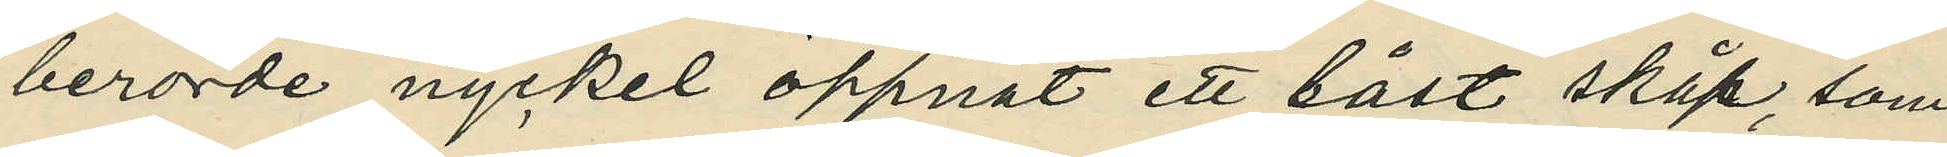berörde nyckel öppnat ett låst skåp, som
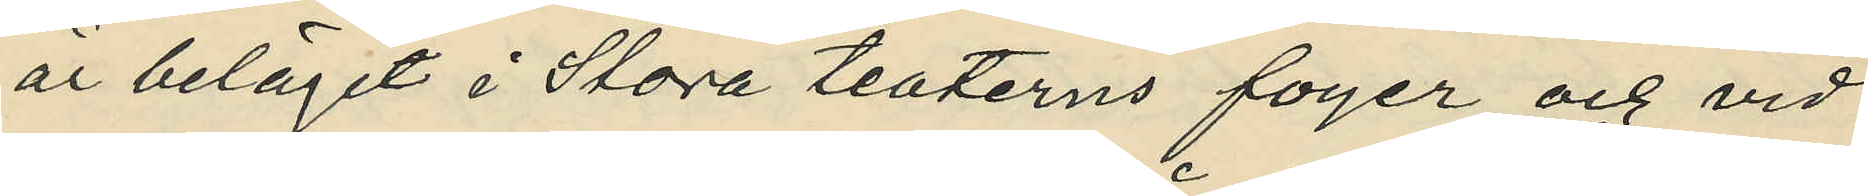är beläget i Stora teaterns foyer och vid
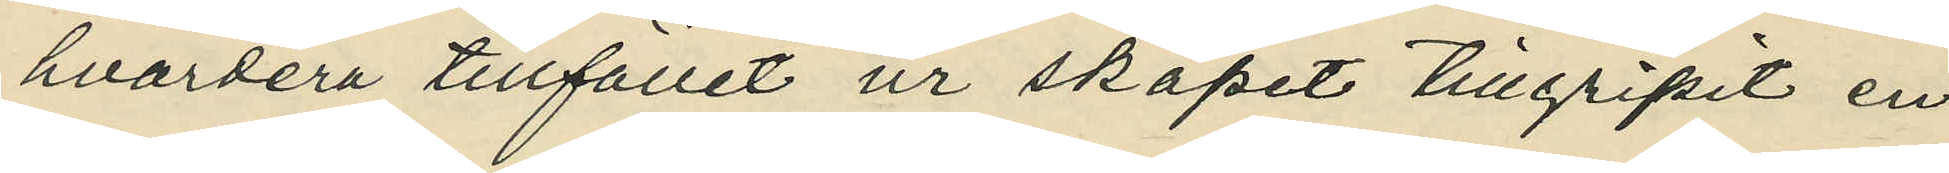hvardera tillfället ur skåpet tillgripit en
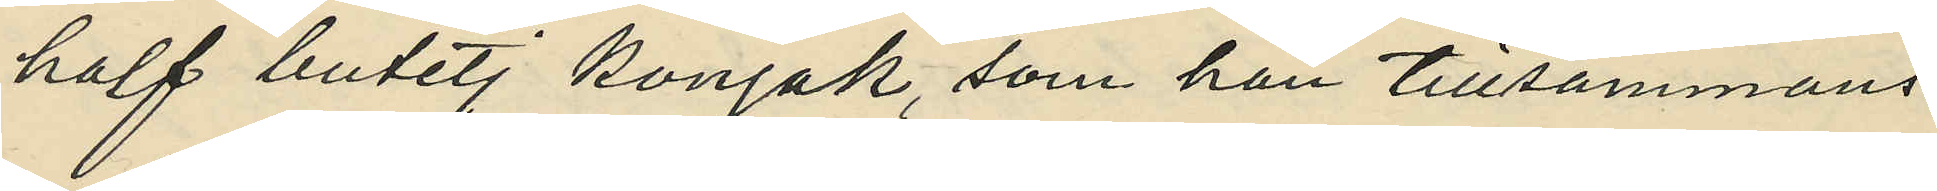half butelj konjak, som han tillsammans
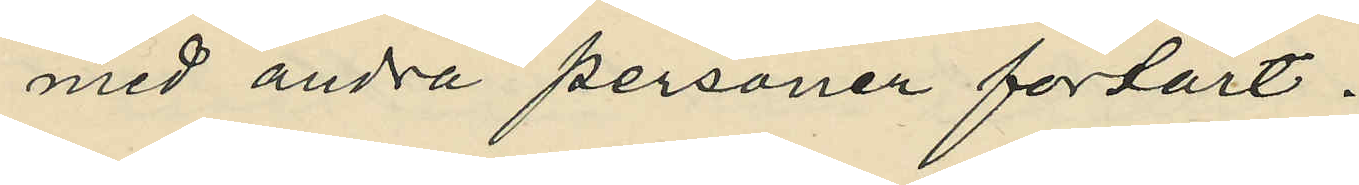med andra personer förtärt.
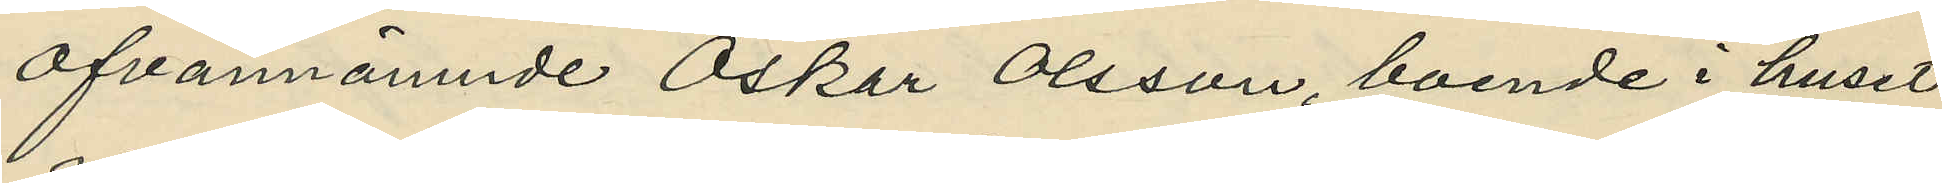Ofvannämnde Oskar Olsson, boende i huset
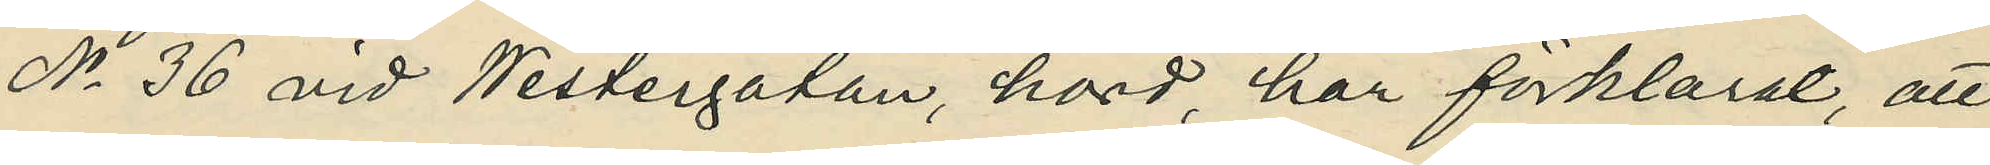No 36 vid Westergatan, hörd, har förklarat, att
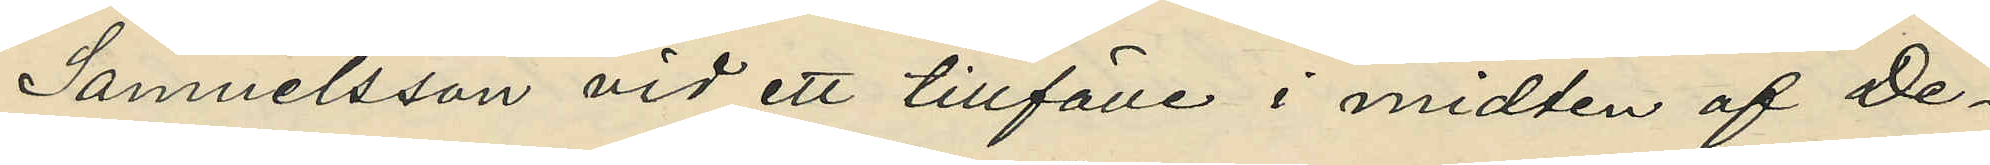Samuelsson vid ett tillfälle i midten af De¬
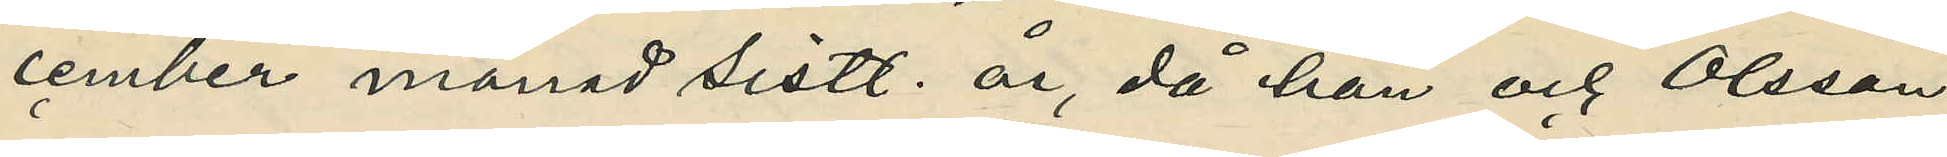cember månad sistl. år, då han och Olsson
